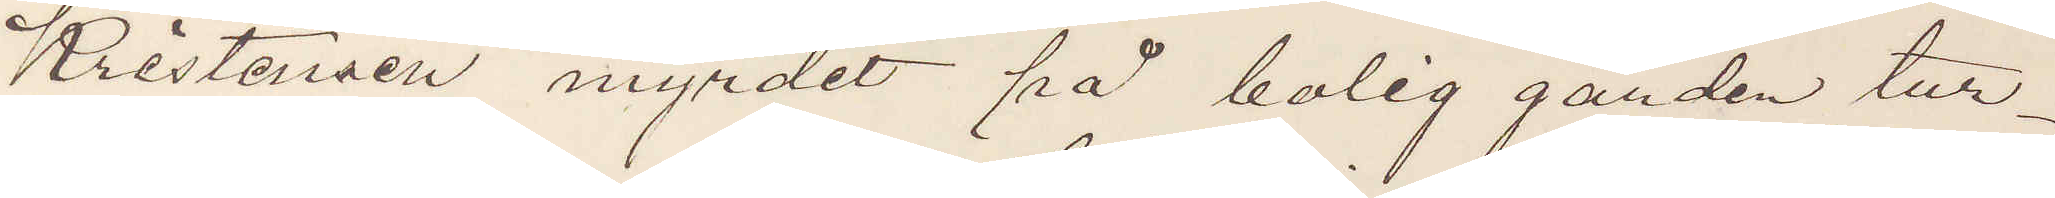Kristensen myrdet på bolig gården tur¬
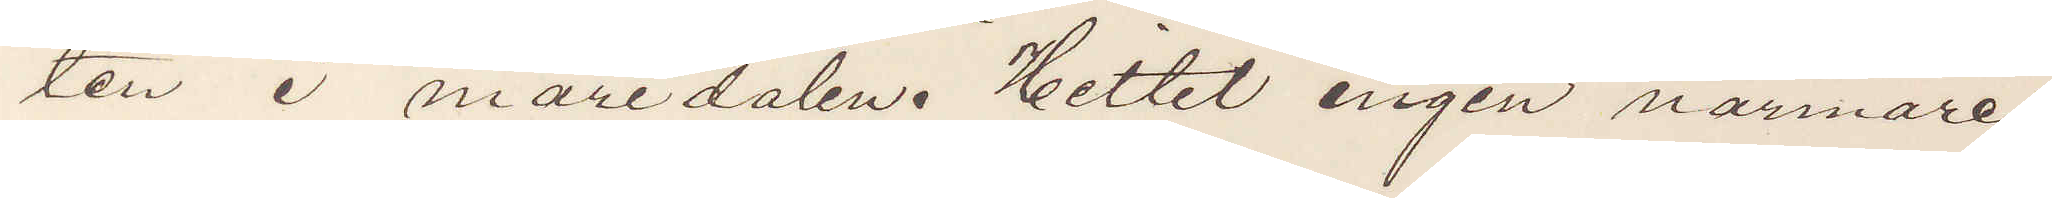ten i maridalen. Hittet ingen närmare
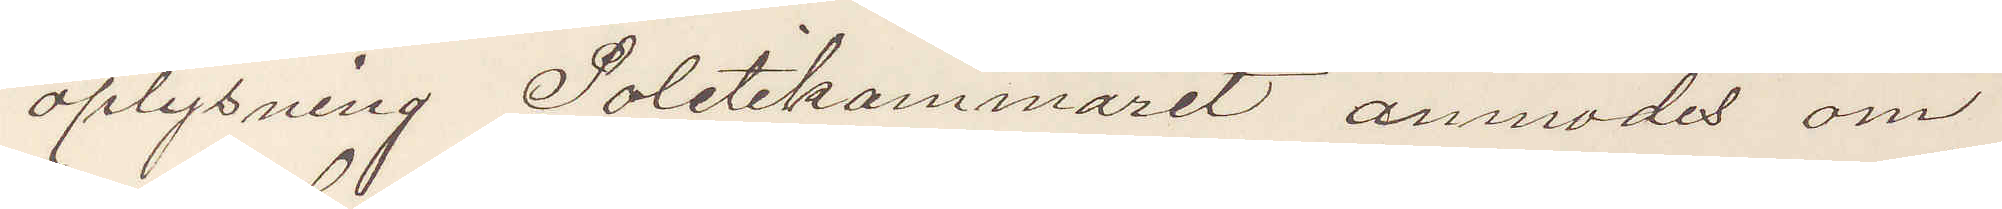oplysning Politikammaret anmodet om
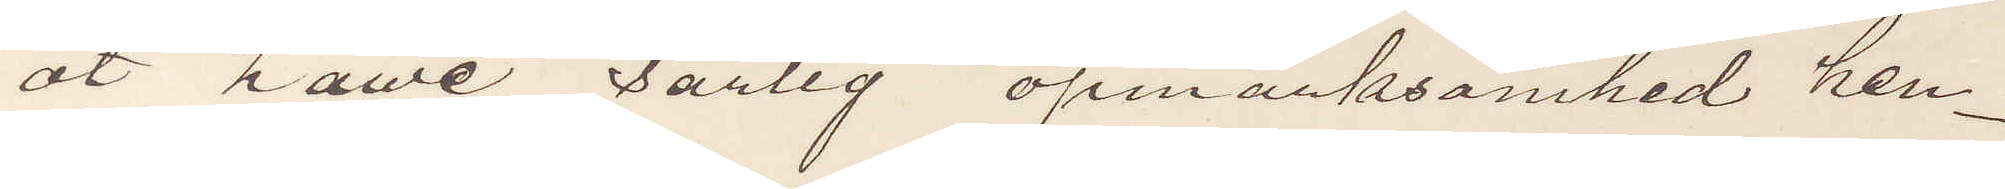at have särlig opmärksomhed hen¬
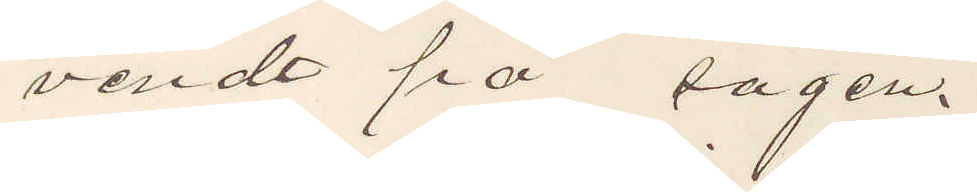vendt på sagen.
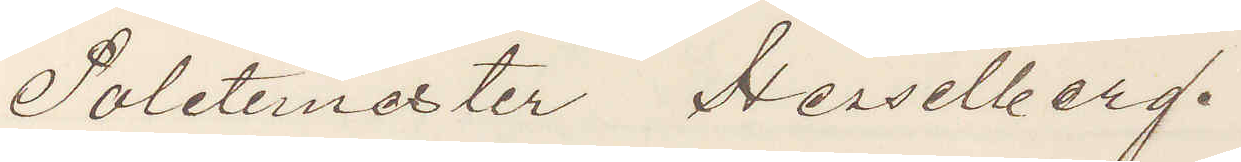Politemester Hesselberg.
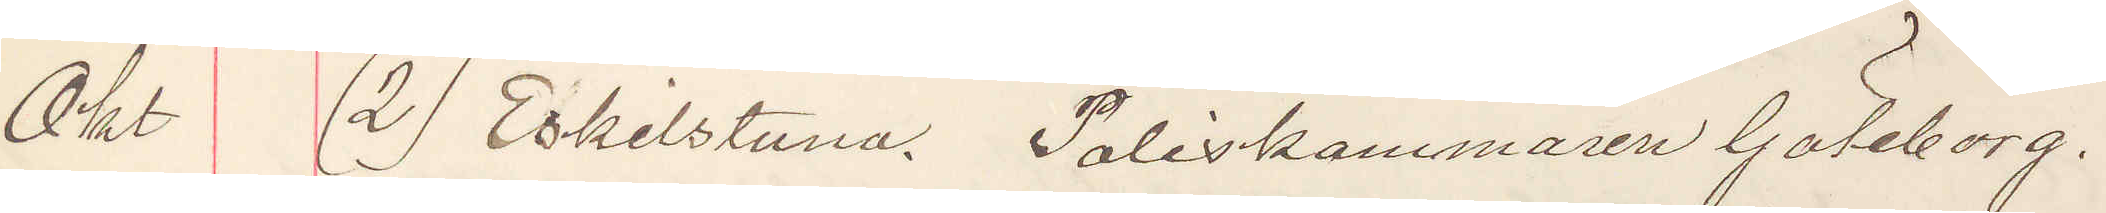Okt (2) Eskilstuna. Poliskammaren Göteborg.
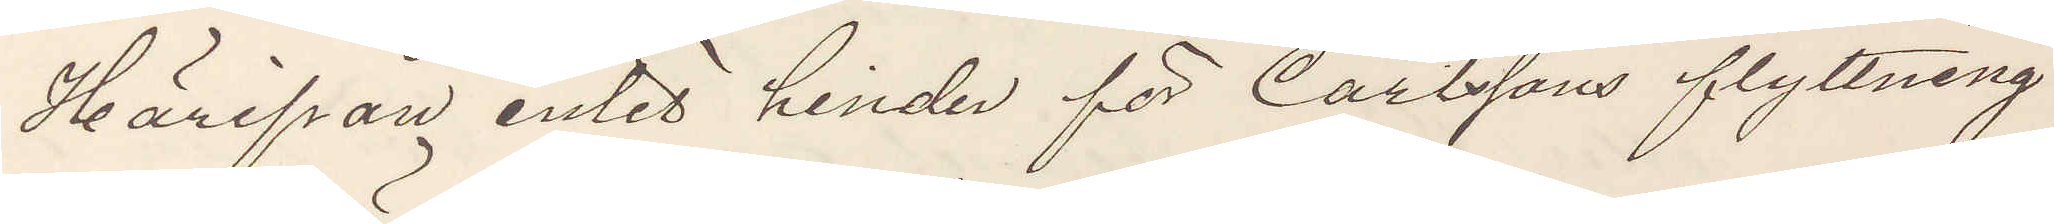Härifrån inles hinder för Carlssons flyttning
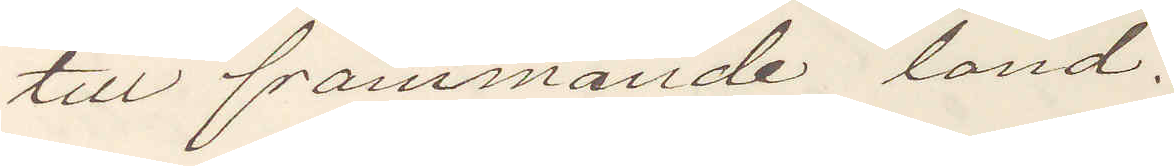till främmande land.
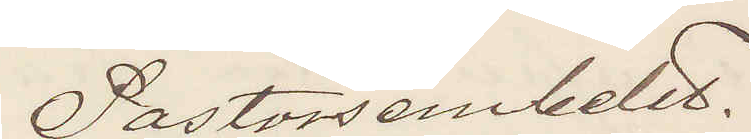Pastorsembetet.
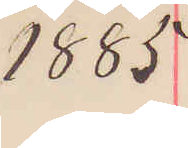1885
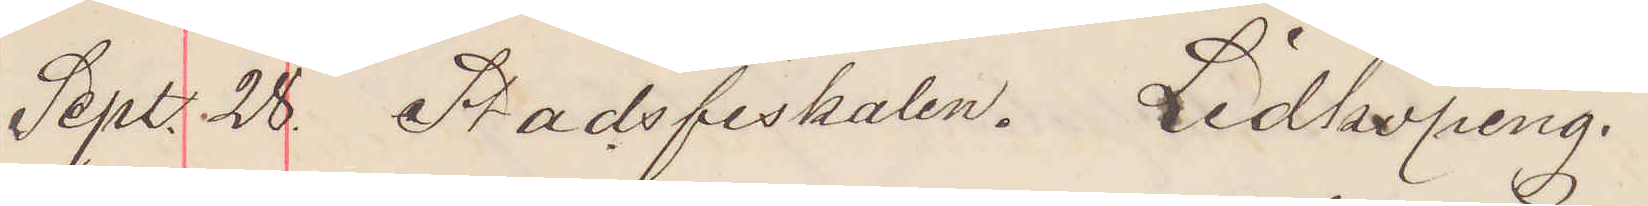Sept. 28. Stadsfiskalen. Lidköping.
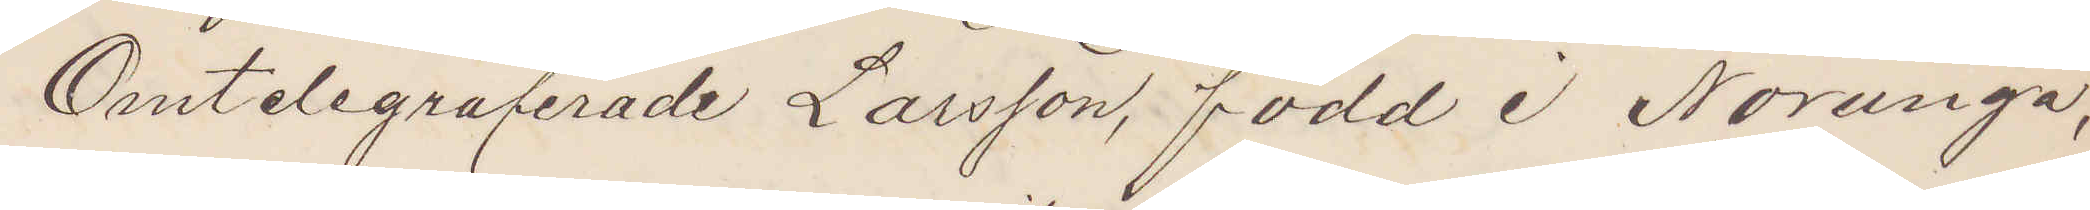Omtelegraferade Larsson, född I Norunga,
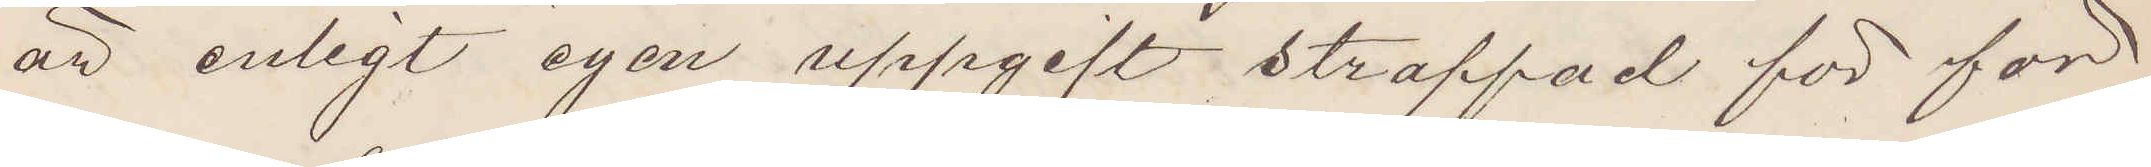att enligt egen uppgift straffad för för¬
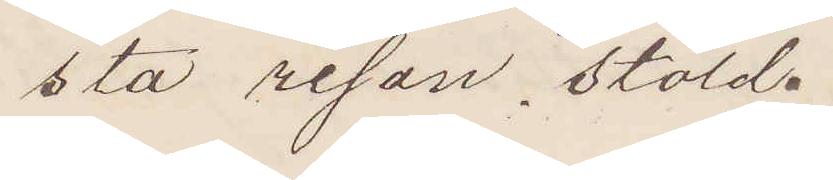sta resan, stöld.
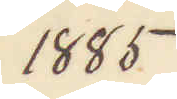1885
